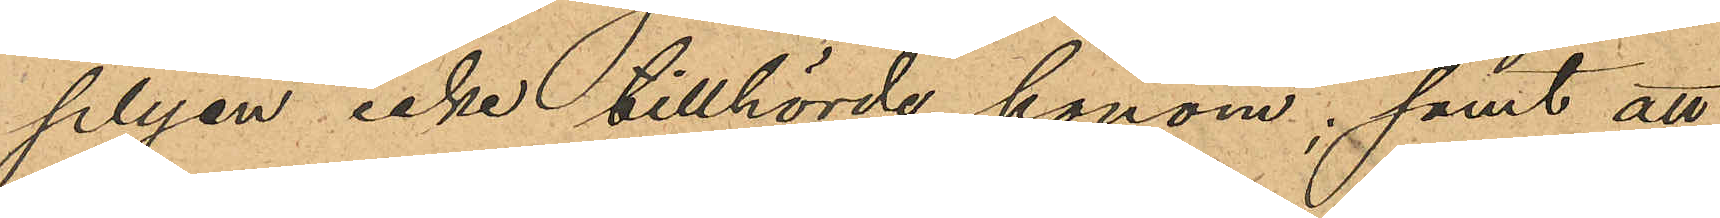plyen icke tillhörde honom; samt att
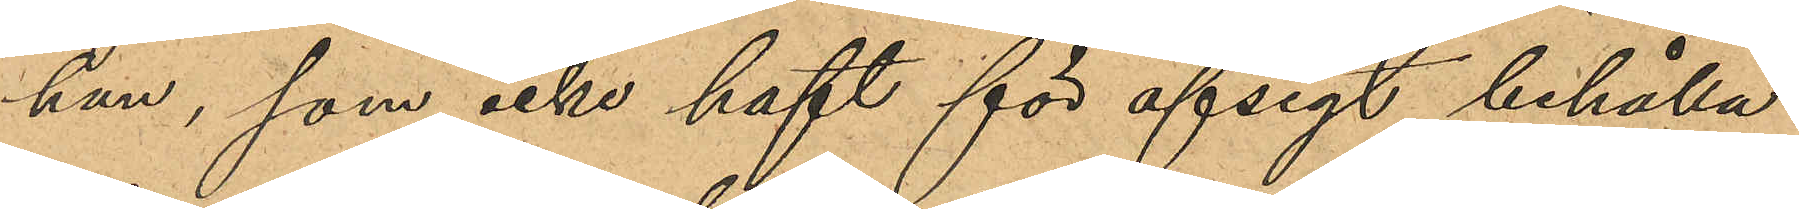han, som icke haft för afsigt behålla
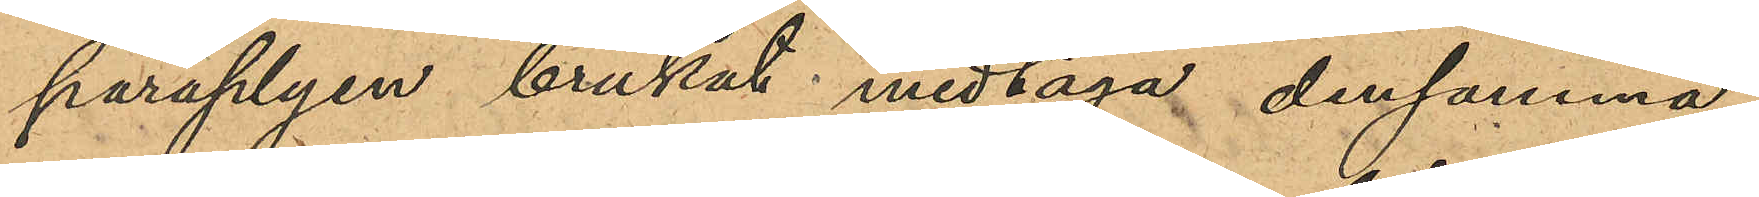paraplyen brukat medtaga densamma
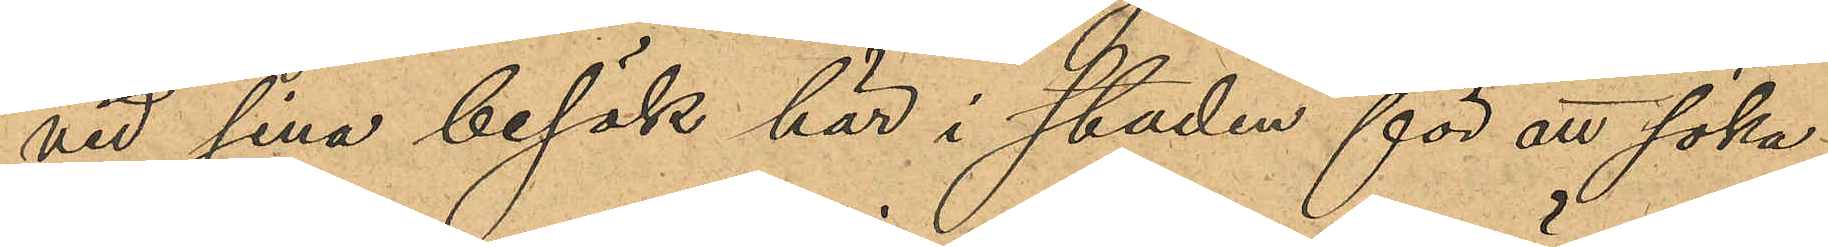vid sina besök här i staden för att söka
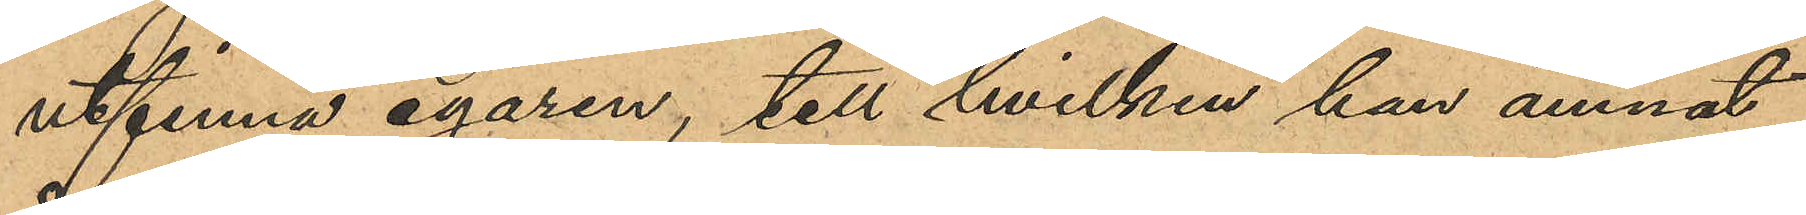utfinna egaren, till hvilken han ämnat
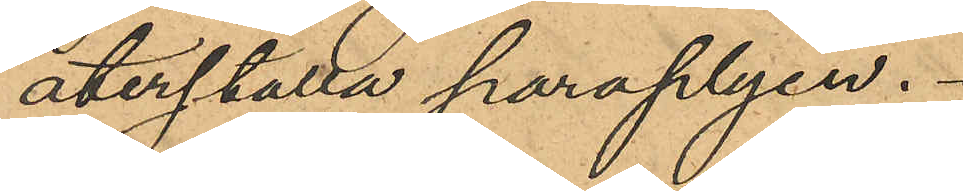återställa paraplyen.
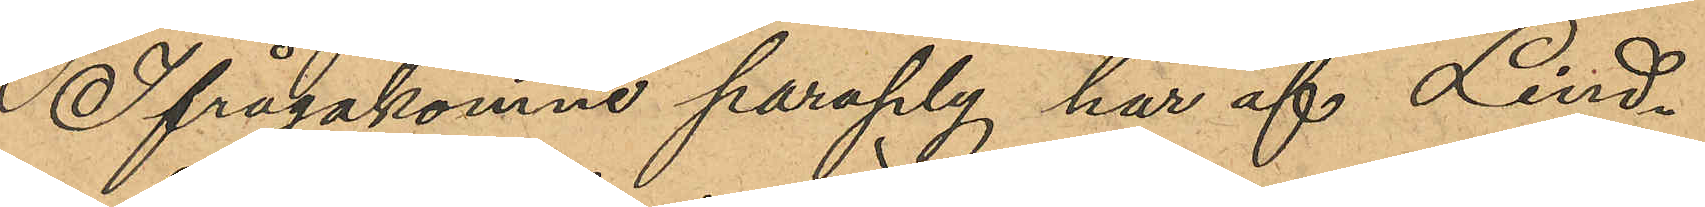Ifrågakomne paraply har af Lind¬
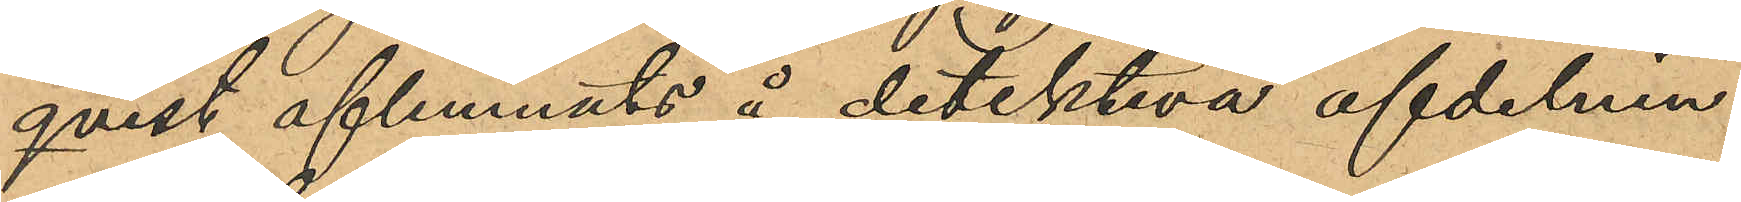qvist aflemnats å detektiva afdelnin¬
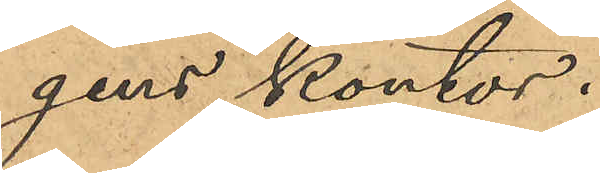gens kontor.
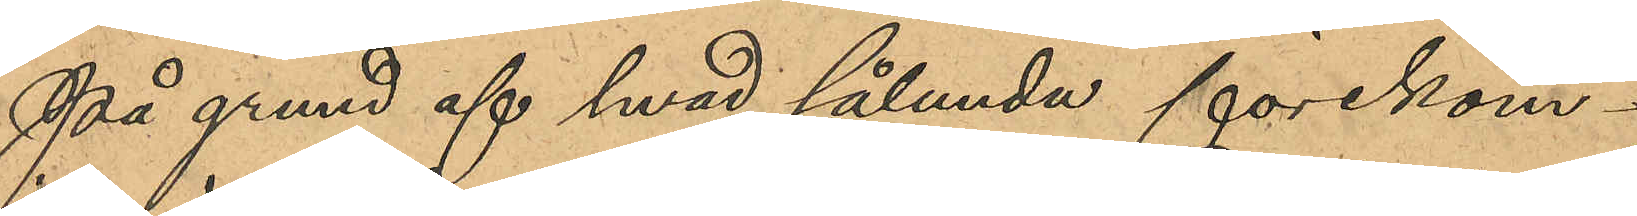På grund af hvad sålunda förekom¬
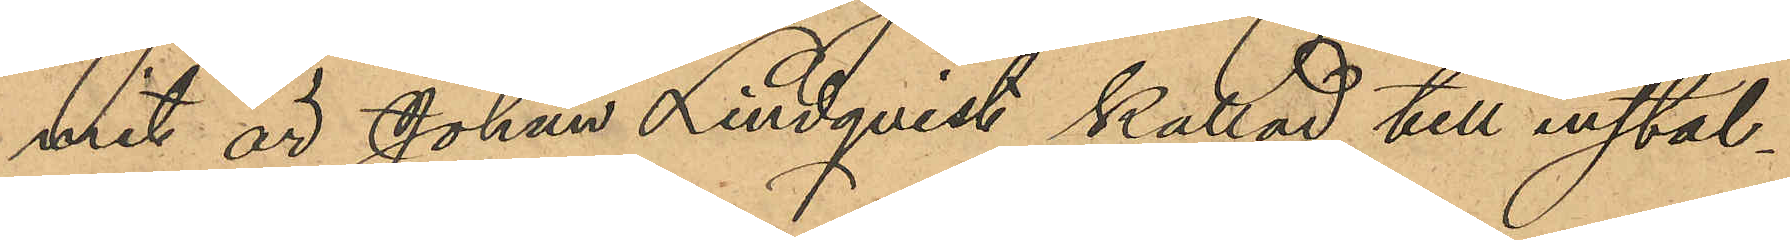mit är Johan Lindqvist kallad till instäl¬
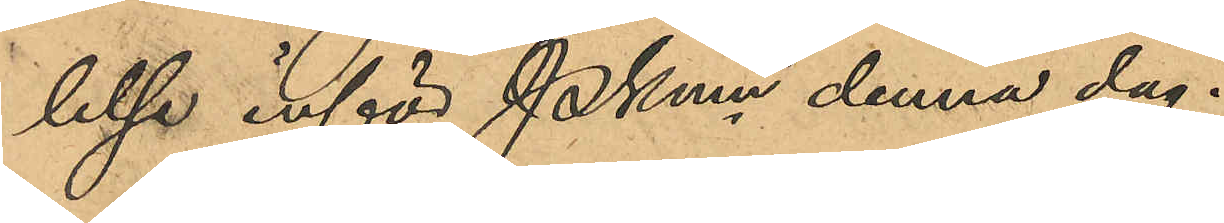leltse inför PKmn denna dag.
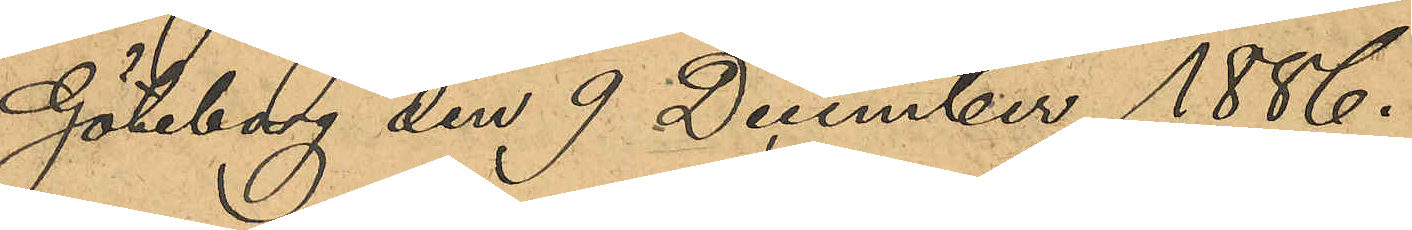Göteborg den 9 December 1886.
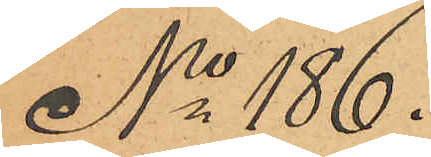No 186.
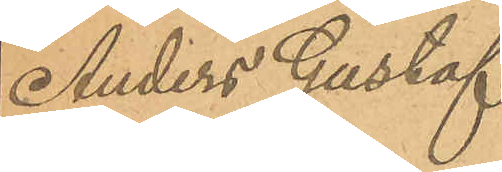Anders Gustaf
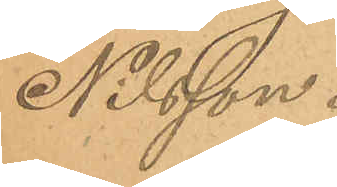Nilsson.
